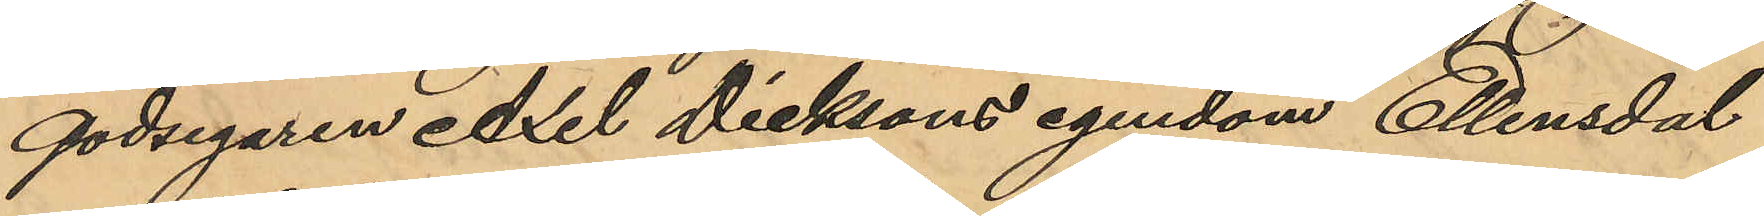godsegaren Axel Dicksons egendom Ellensdal
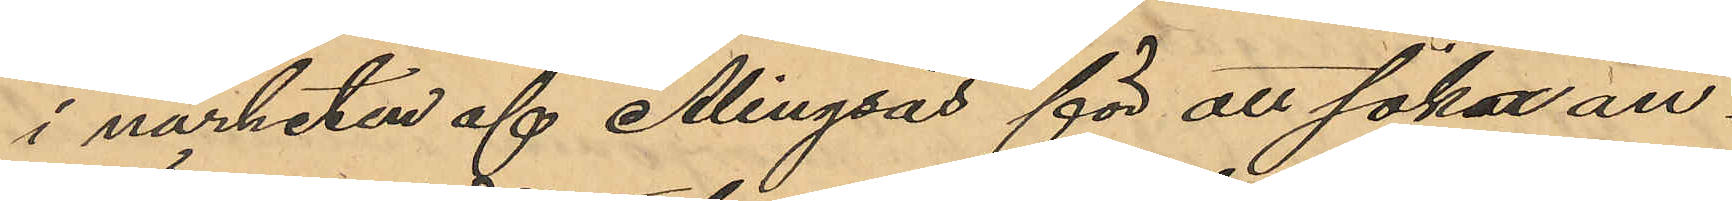i närheten af Alingsås för att söka an¬
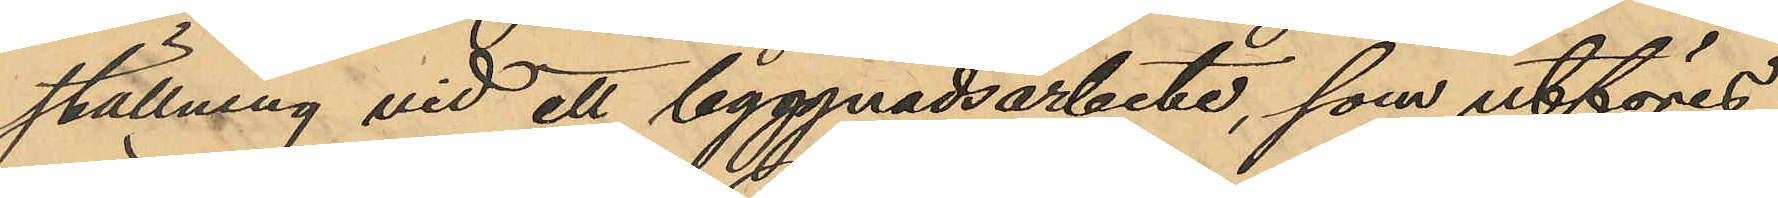ställning vid ett byggnadsarbete, som utföres
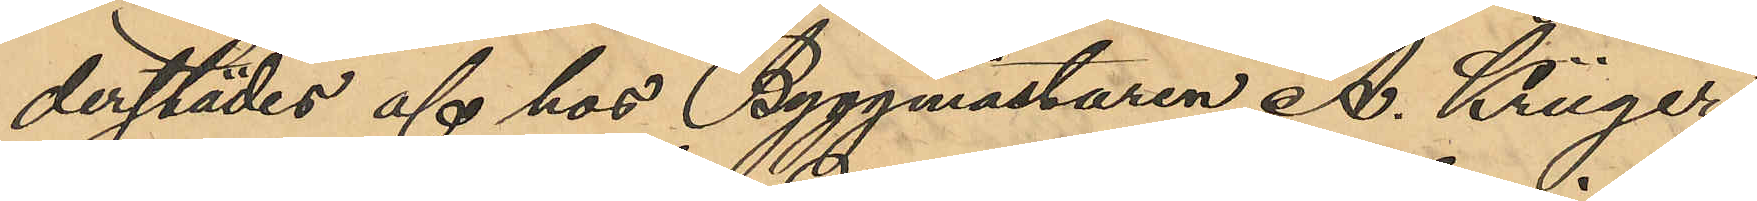derstädes af hos Byggmästaren A. Krüger
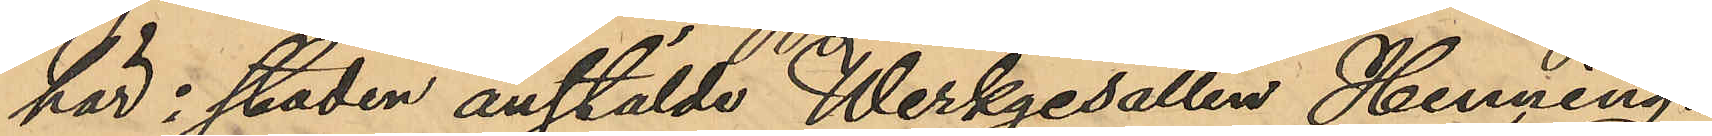här i staden anstälde Werkgesällen Henning.
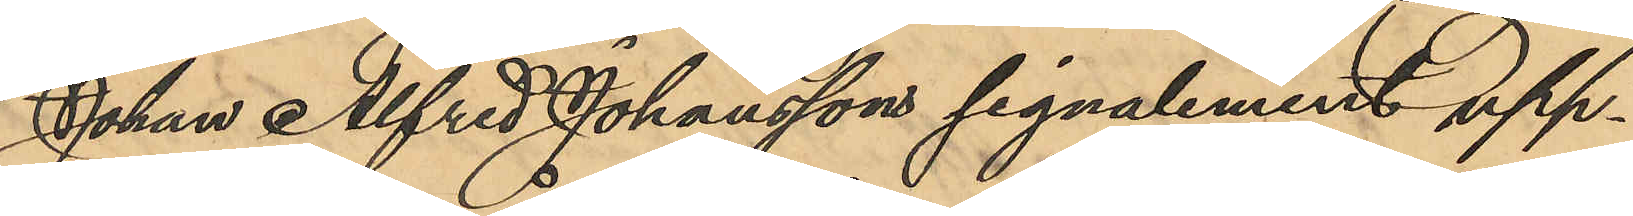Johan Alfred Johanssons signalement upp¬
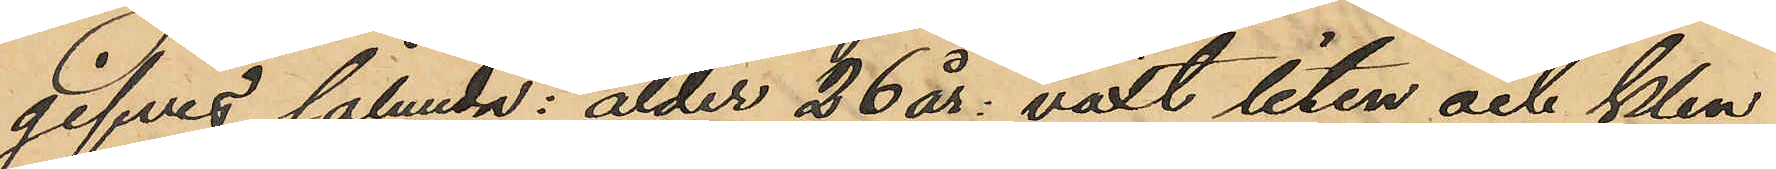gifves sålunda: ålder 26 år: växt liten och klen,
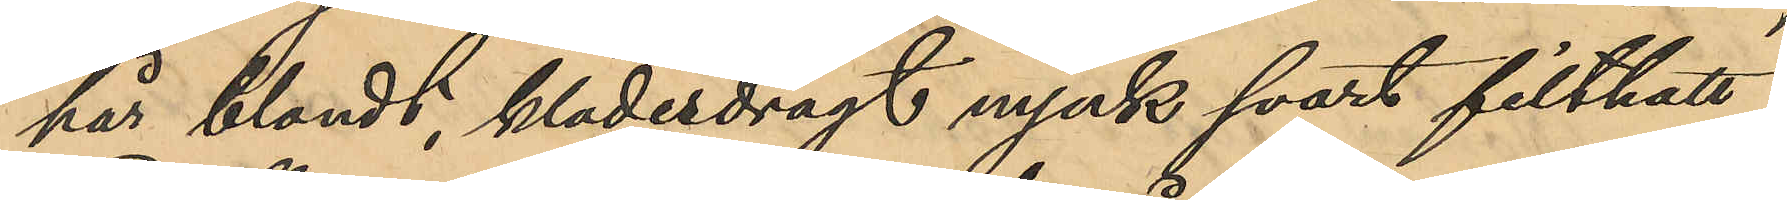hår blondt, klädesdrägt mjuk svart filthatt
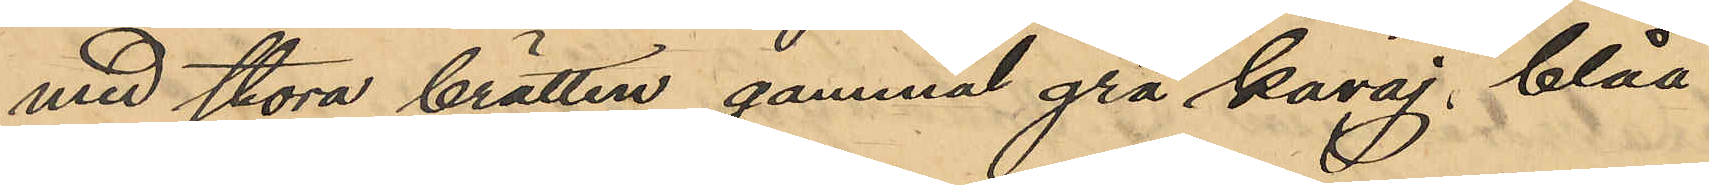med stora brätten, gammal grå kavaj, blåa¬
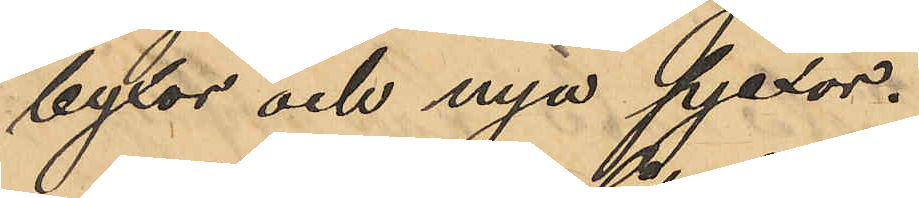byxor och nya pjexor.
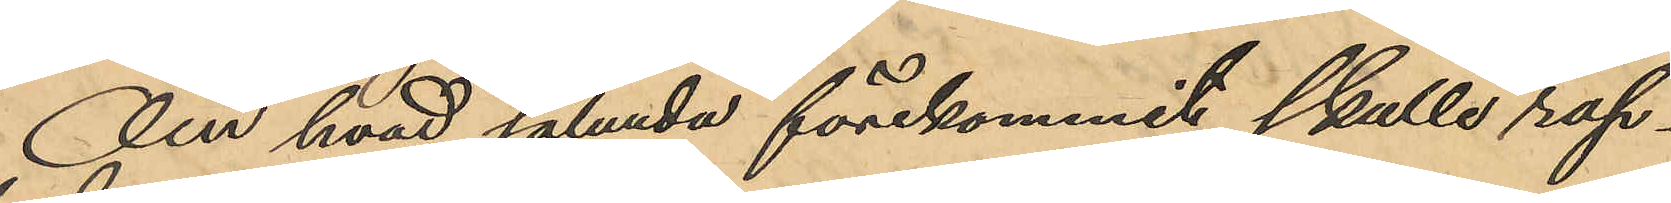Om hvad sålunda förekommit skulle rap¬
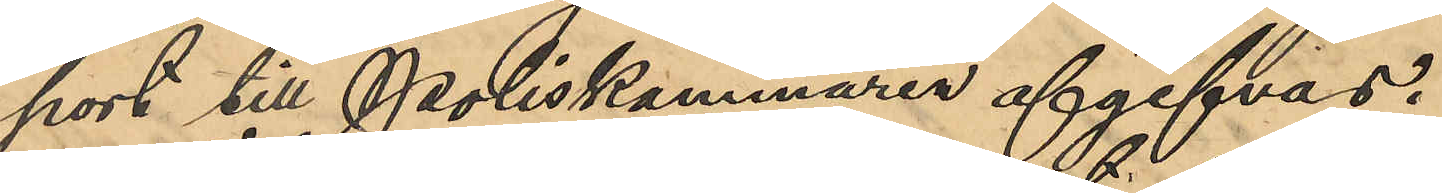port till Poliskammaren afgifvas.
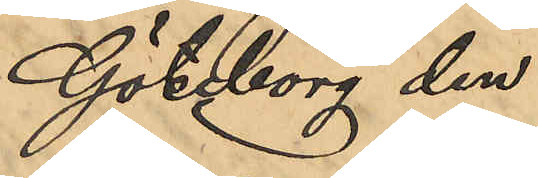Göteborg den
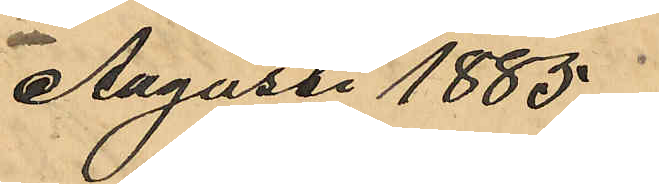Augusti 1885.
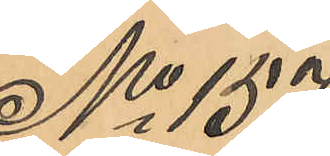No 157
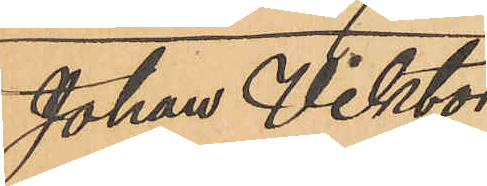Johan Viktor
